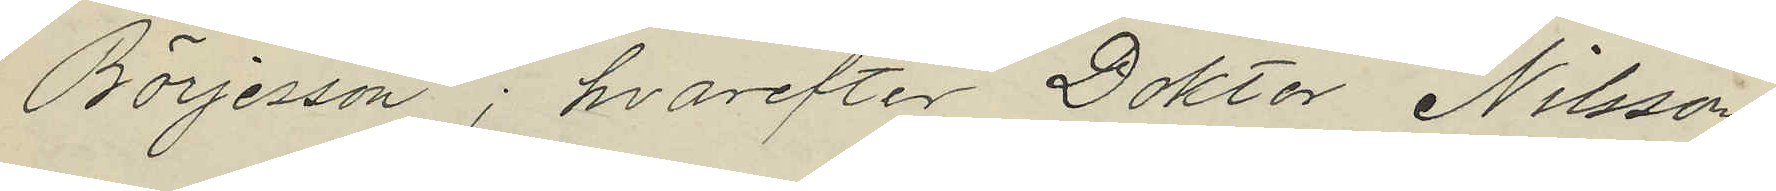Börjesson; hvarefter Doktor Nilsson
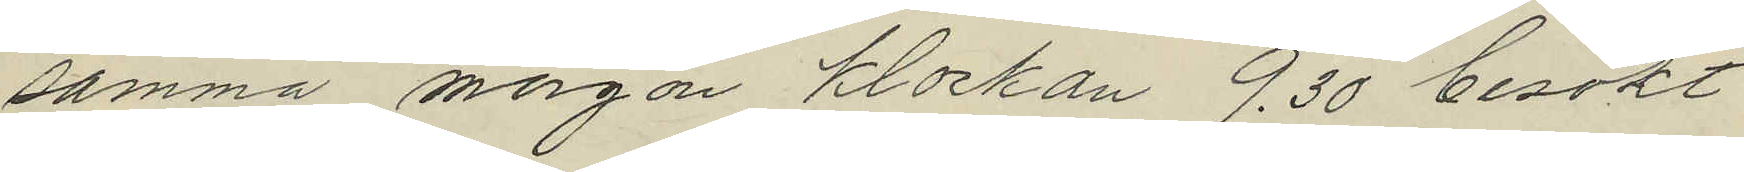samma morgon klockan 9.30 besökt
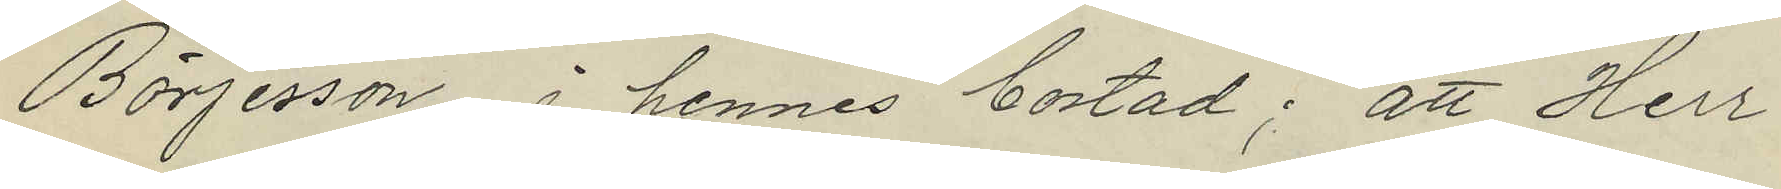Börjesson i hennes bostad; att Herr
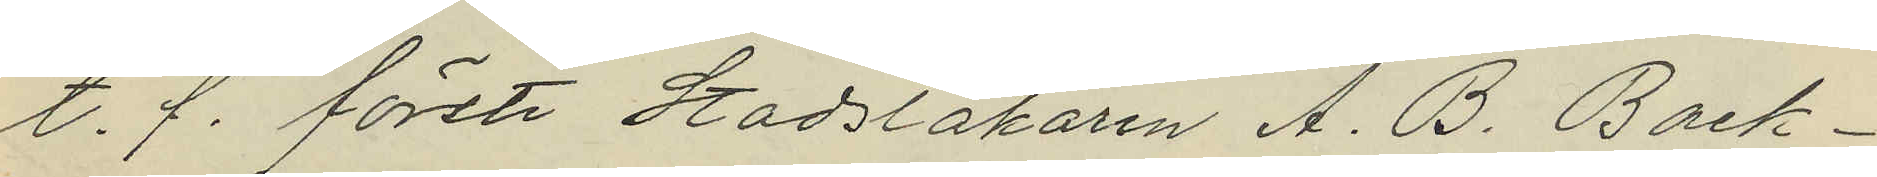t. f. förste Stadsläkaren A. B. Back¬
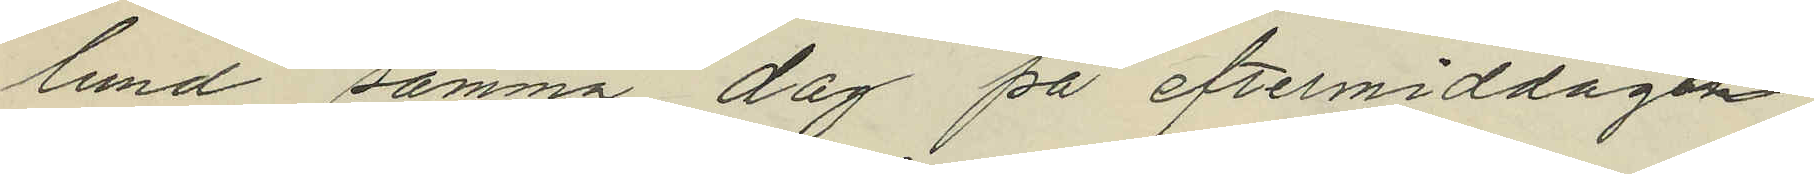lund samma dag på eftermiddagen
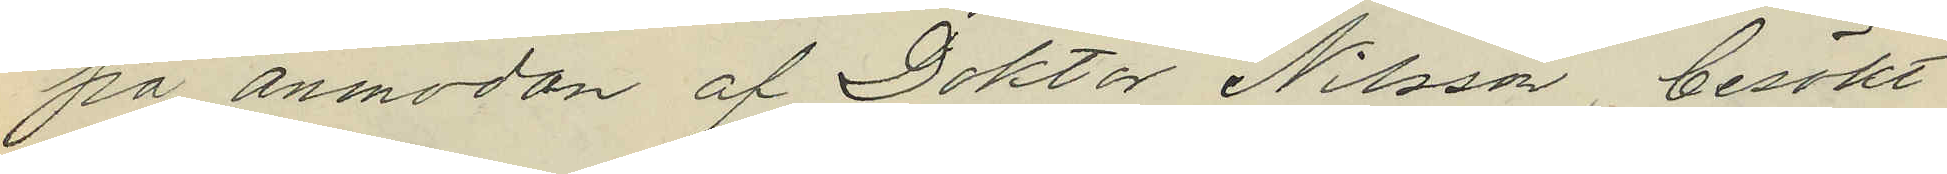på anmodan af Doktor Nilsson besökt
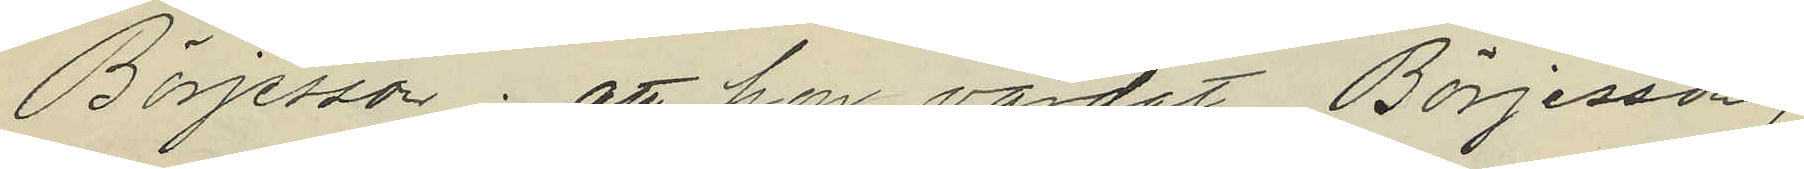Börjesson; att hon vårdat Börjesson,
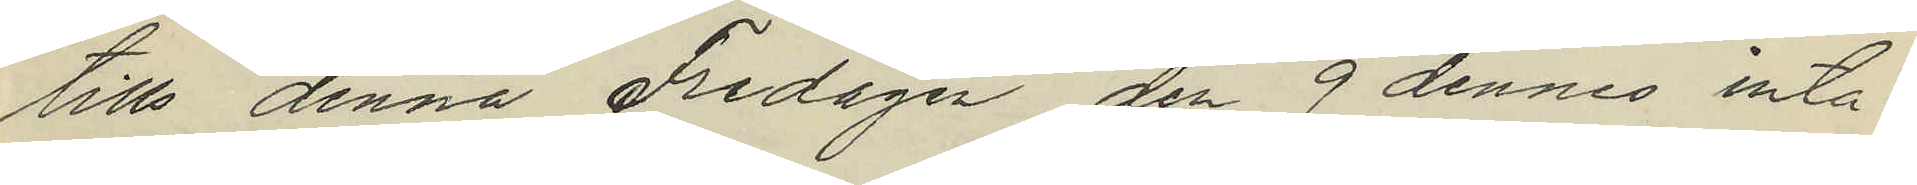tills denna Fredagen den 9 dennes inta¬
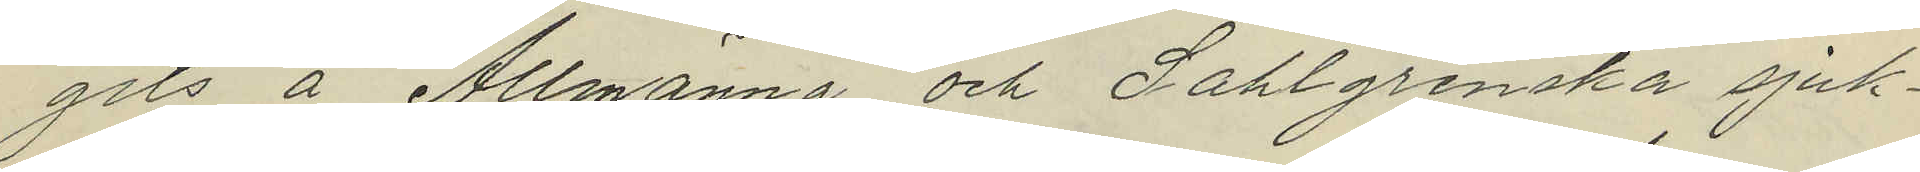gits å Allmänna och Sahlgrenska sjuk¬
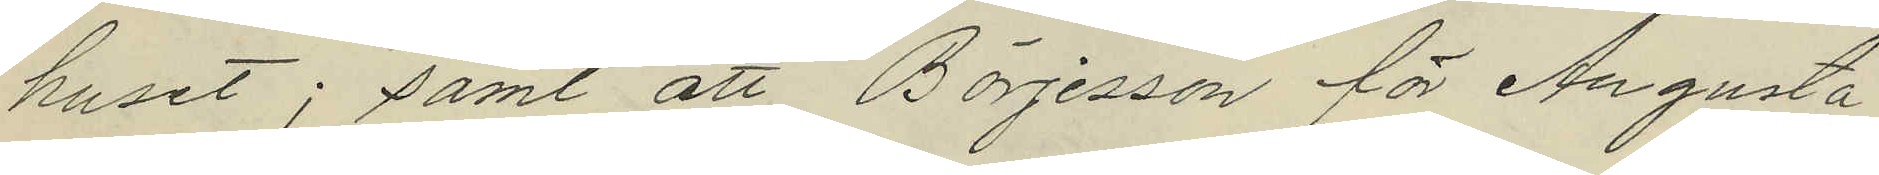huset; samt att Börjesson för Augusta
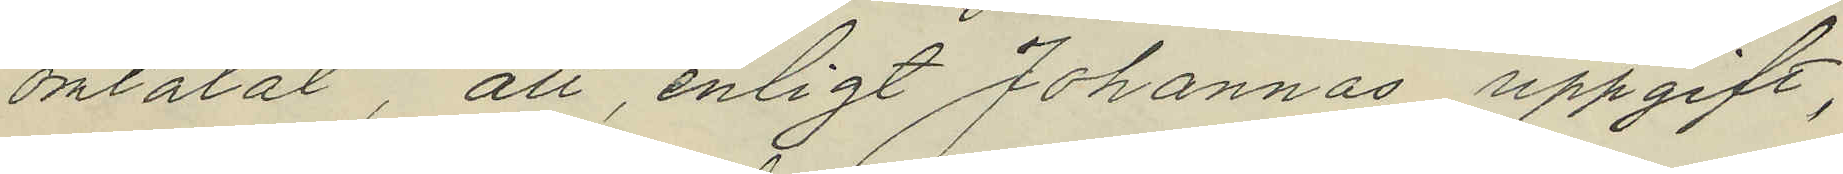omtalat, att, enligt Johannas uppgift,
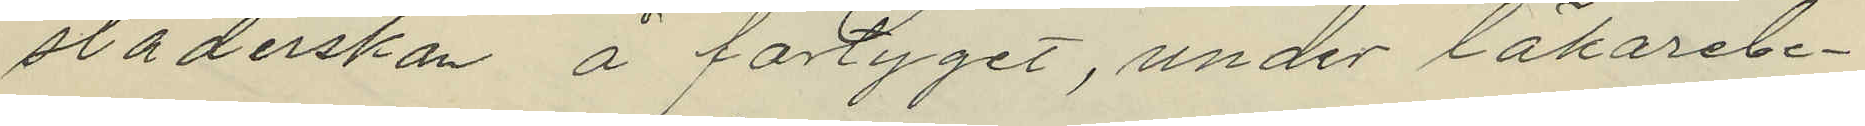städerskan å fartyget, under läkarebe¬
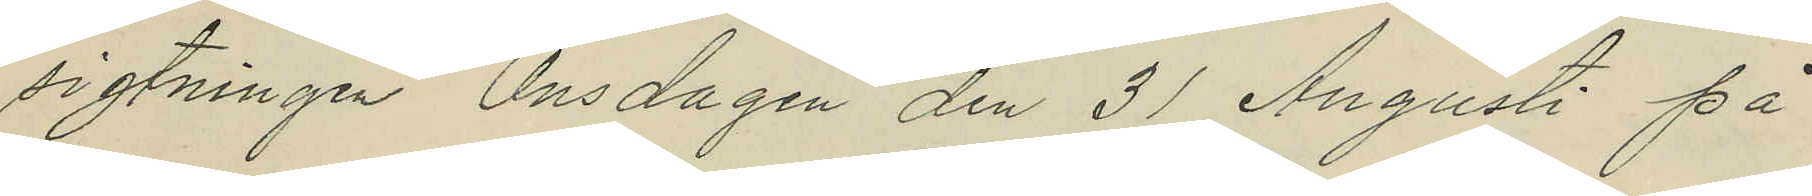sigtningen Onsdagen den 31 Augusti på
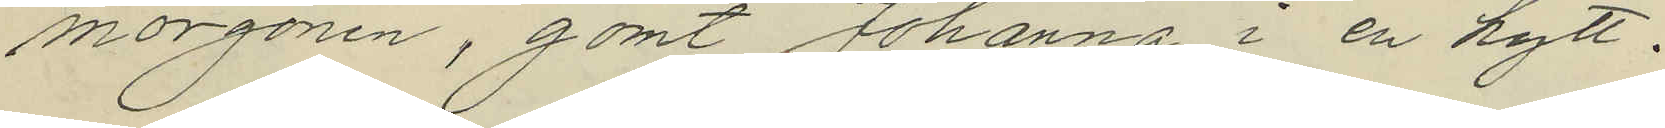morgonen, gömt Johanna i en hytt.
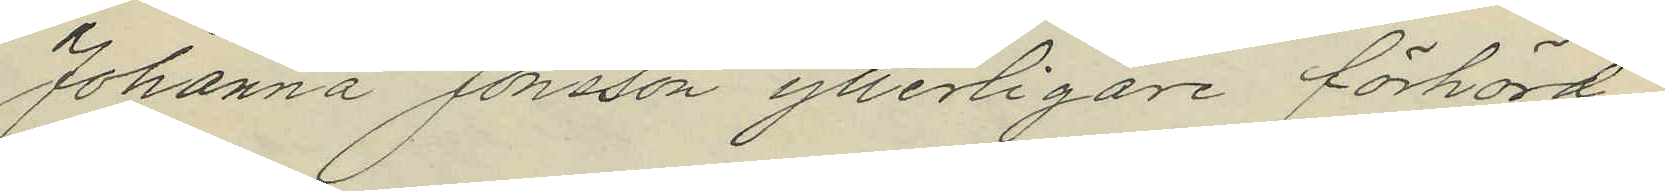Johanna Jonsson ytterligare förhörd
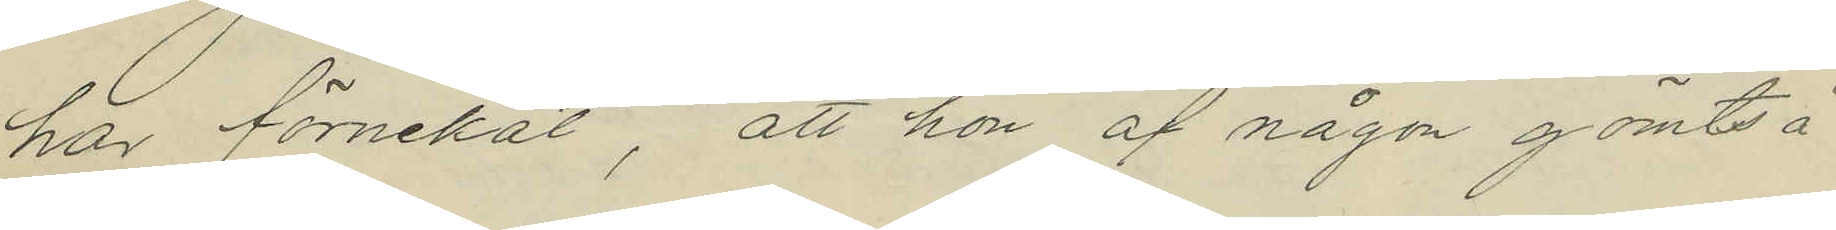här förnekat, att hon af någon gömts å
